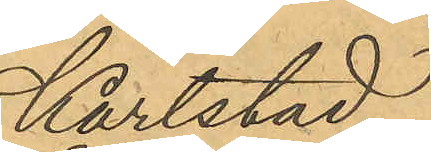Karlstad.
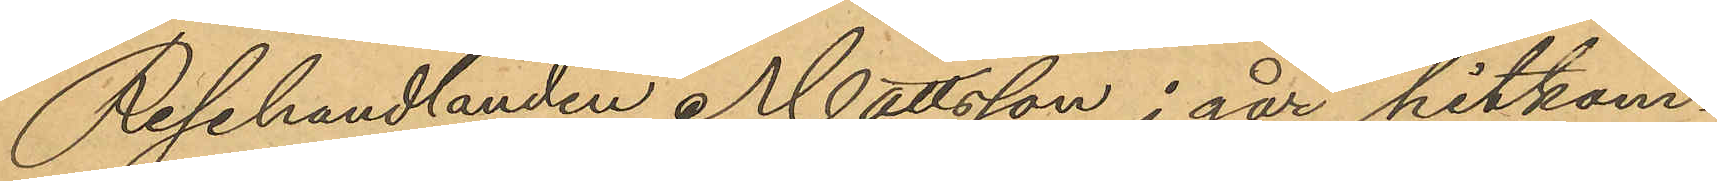Resehandlanden Mattsson i går hitkom¬
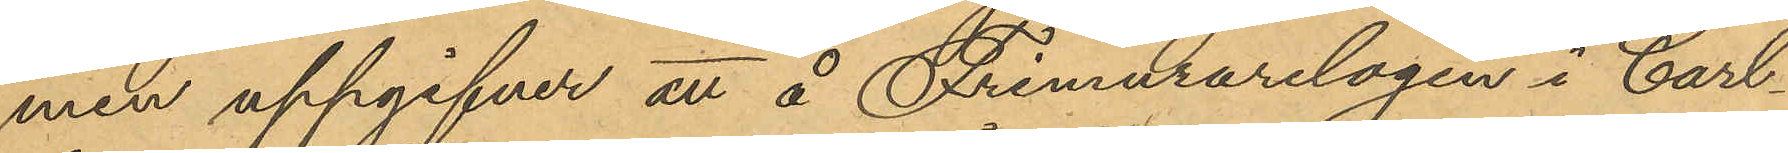men uppgifver att å Frimurarelogen i Carl¬
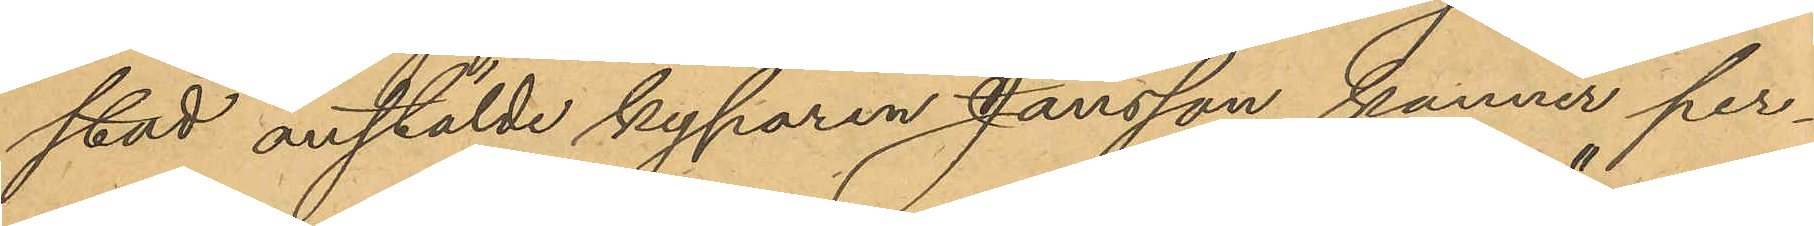stad anstälde kyparen Jansson känner per¬
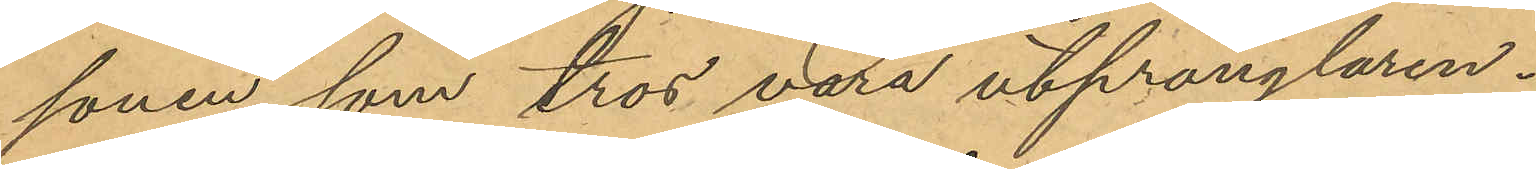sonen som tros vara utprånglaren."
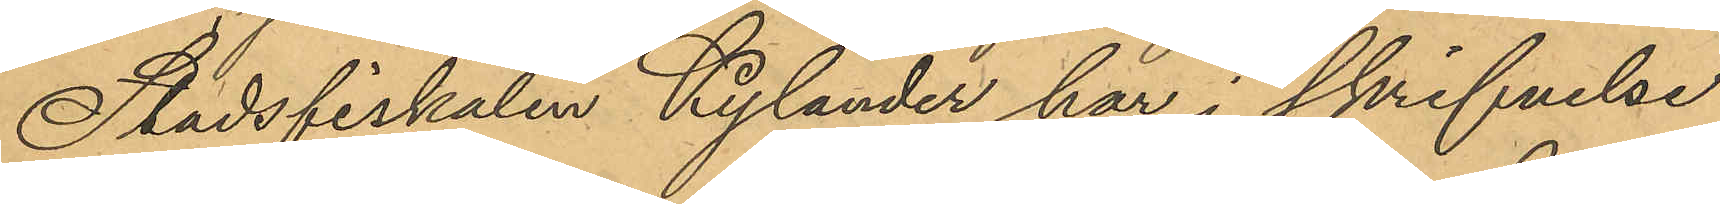Stadsfiskalen Kylander har i skrifvelse
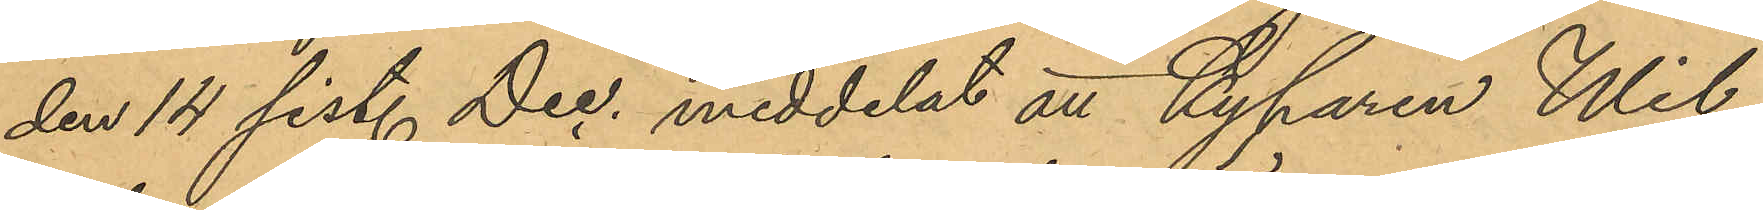den 14 sist. Dec. meddelat att Kyparen Wil¬
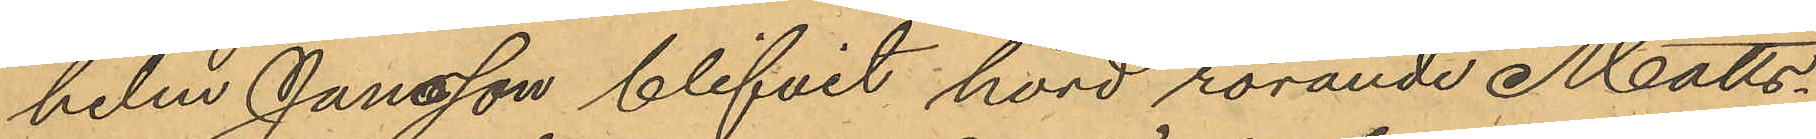helm Jansson blifvit hörd rörande Matts¬
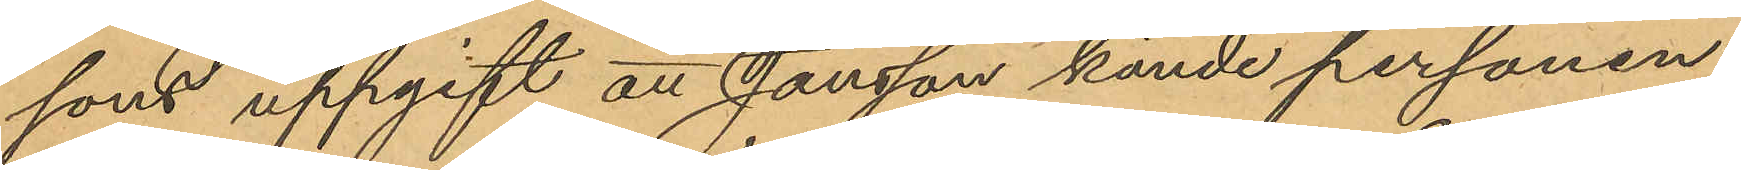sons uppgift att Jansson kände personen,
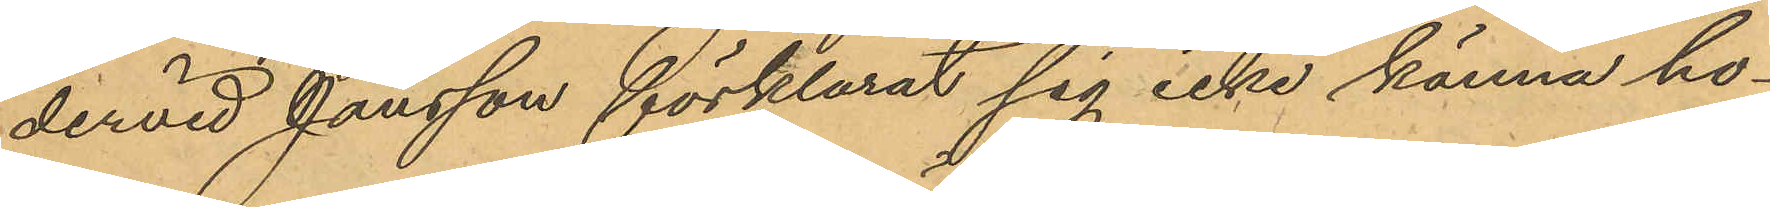dervid Jansson förklarat sig icke känna ho¬
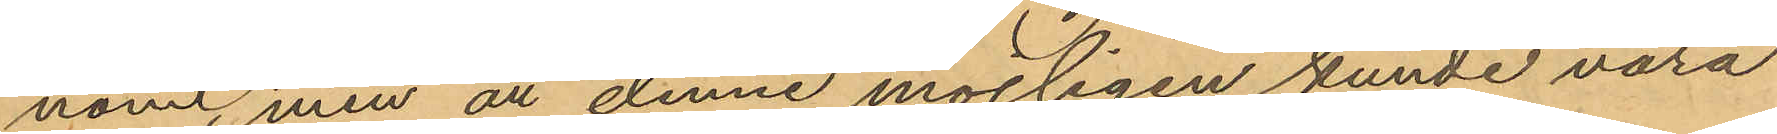nom, men att denne möjligen kunde vara
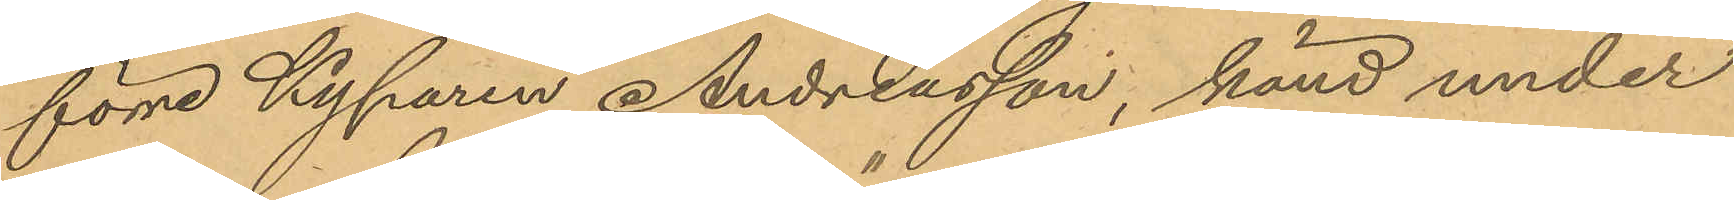förre Kyparen Andreasson, känd under
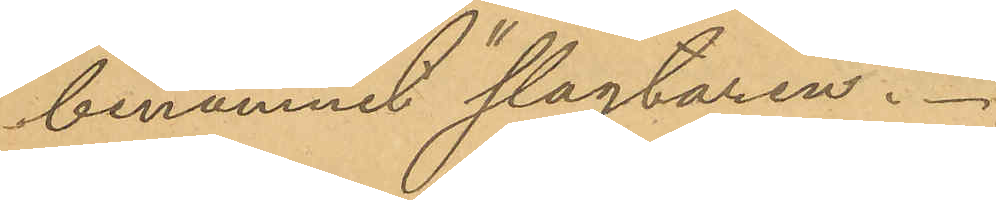binamnet "slagtaren."
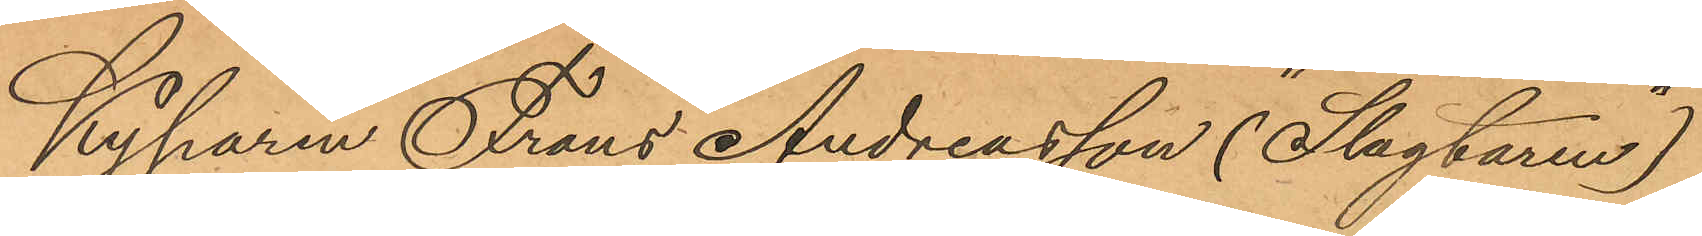Kyparen Frans Andreasson ("Slagtaren")
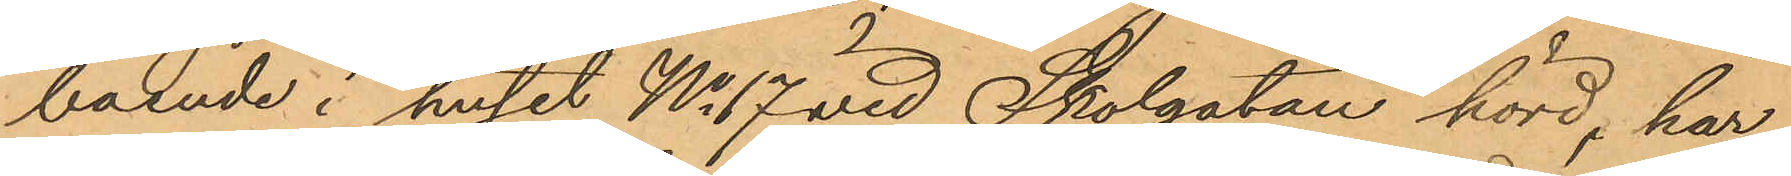boende i huset No 17 vid Skolgatan hörd, har
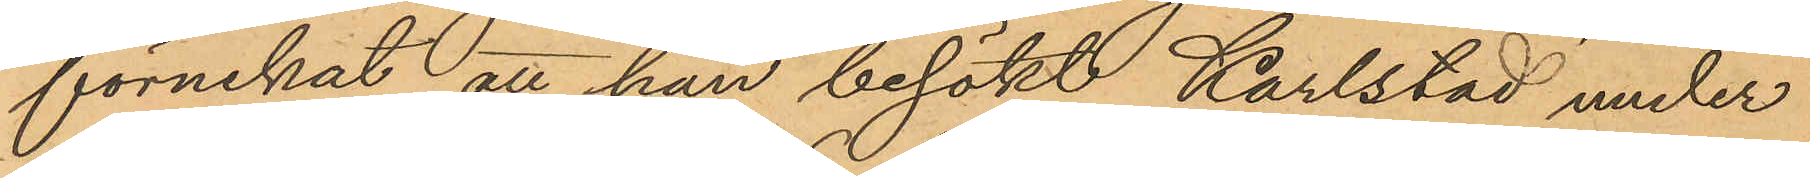förnekat att han besökt Karlstad under
